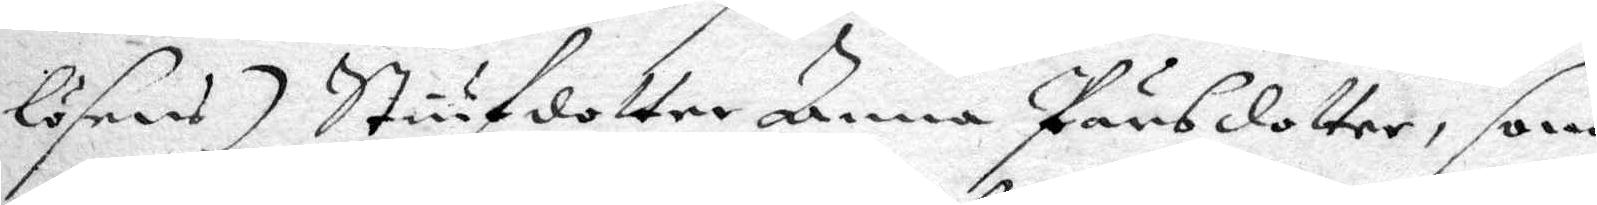lösnars) Stiufdotter Anna Pärsdotter, som
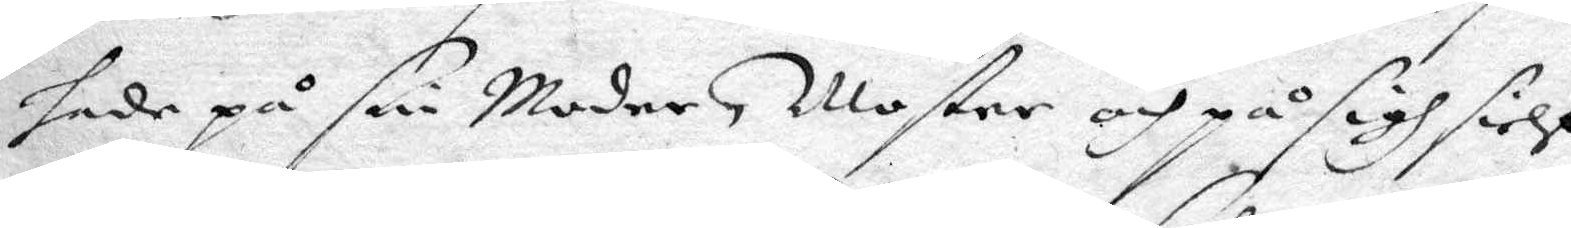hade på sin Moder, Moster och på sigh sielf
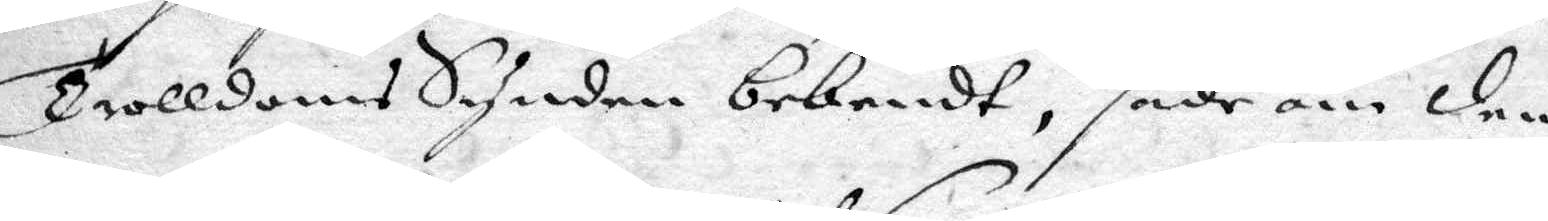Trolldoms Synden bekendt, sade om den¬
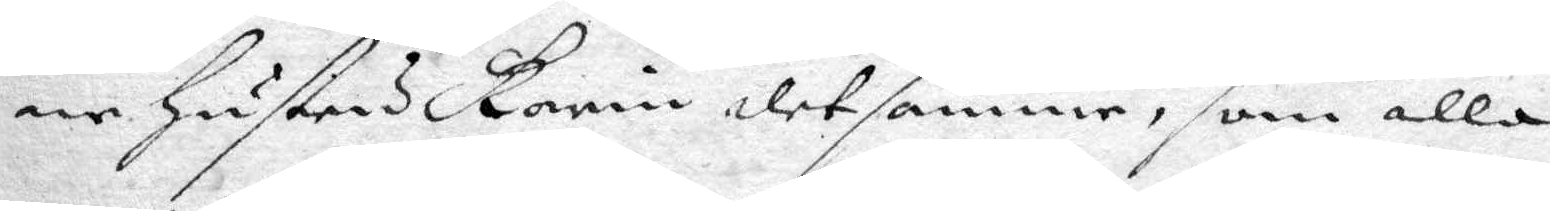ne hustru Karin detsamme, som alla
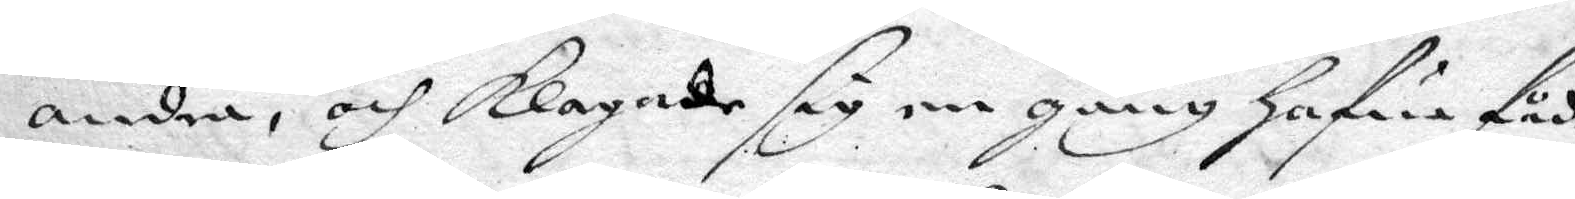andra, och klagade sig en gång hafwa fådt
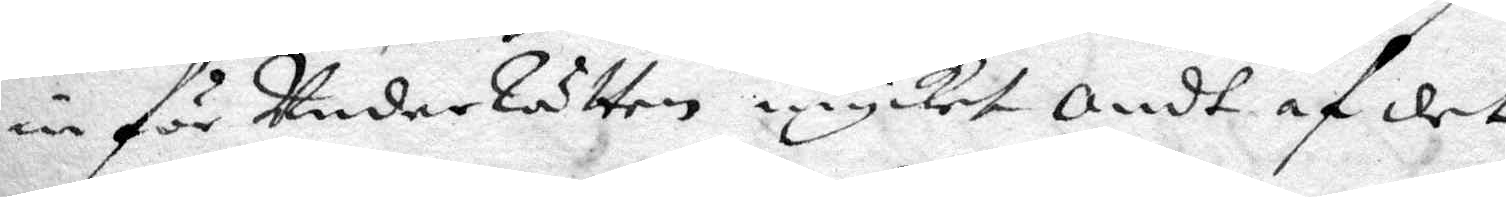inför Under Rätten mycket Ondt af det
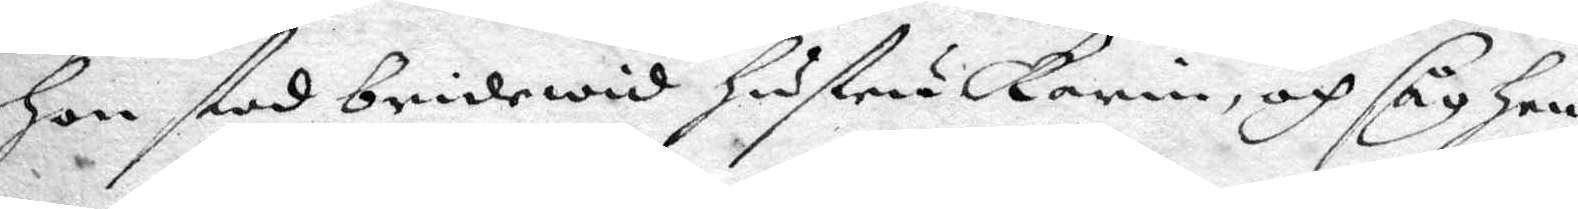hon stod bridewid hustru Karin, och såg hen¬
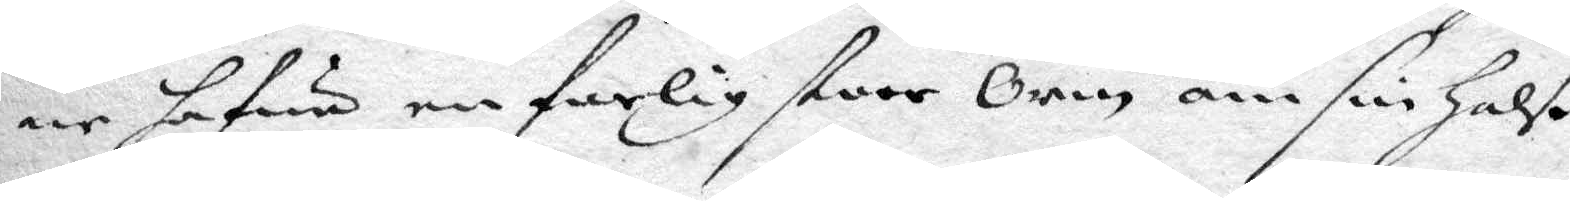ne hafwa en farlig stoor Orm om sin halß.
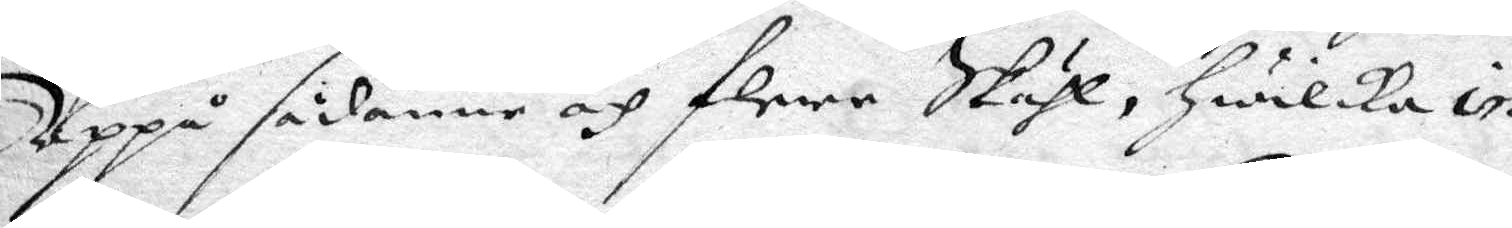Uoop sådanne och flere Skähl, hwilcka in
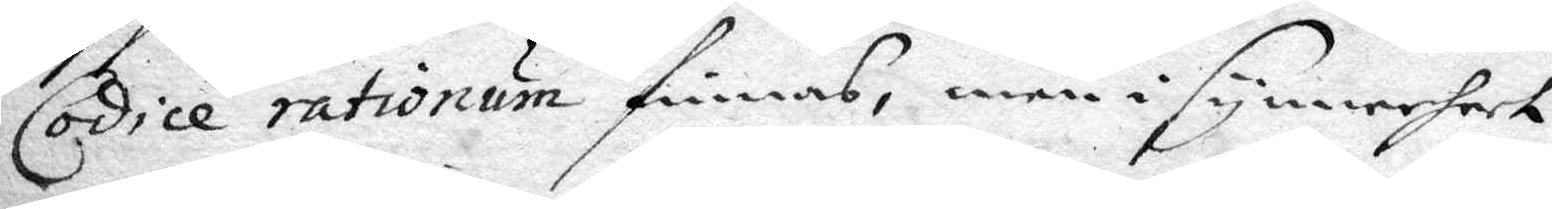Cordie rationum finnas, men i synnerhet
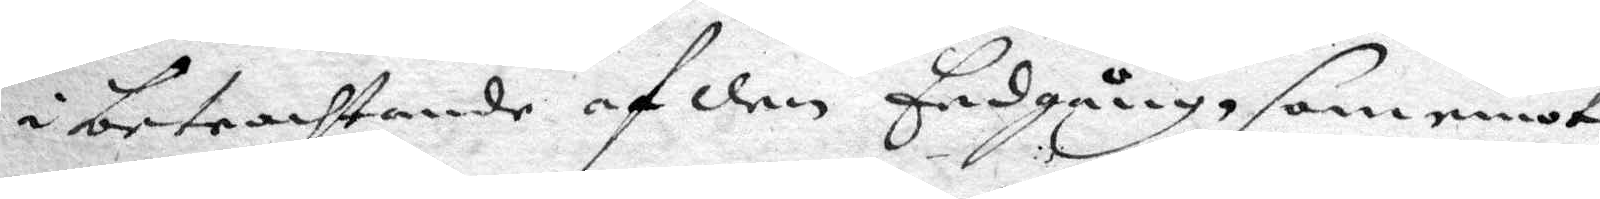i betrachtande af den Eedgång, som emot
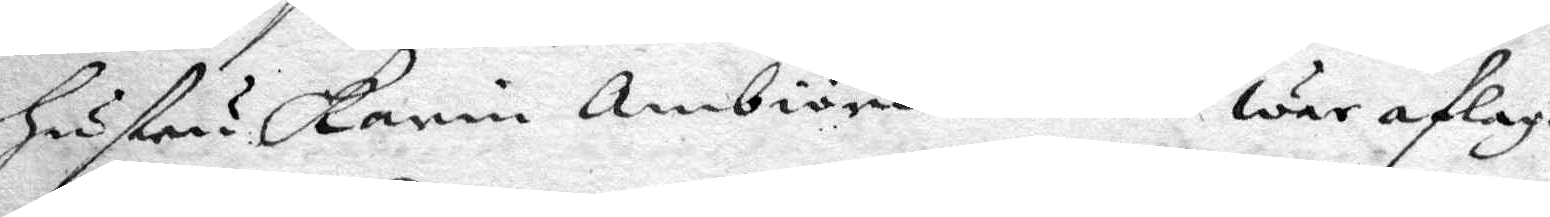hustru Karin Ambiörnsdotter war aflagd,
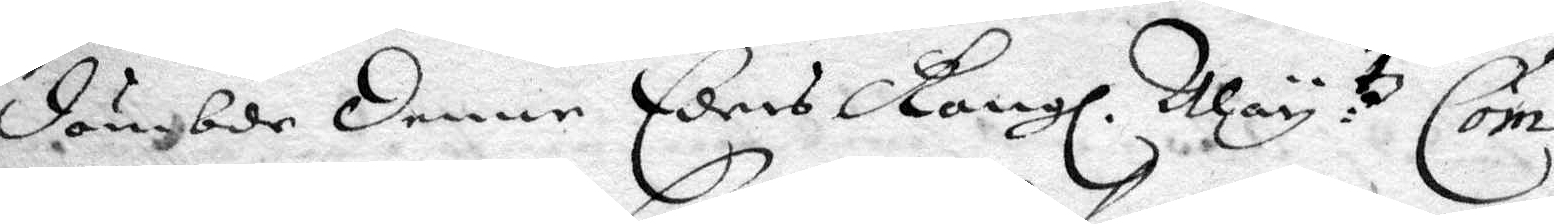dömbde denne Eders Kongl. May:tz Com¬
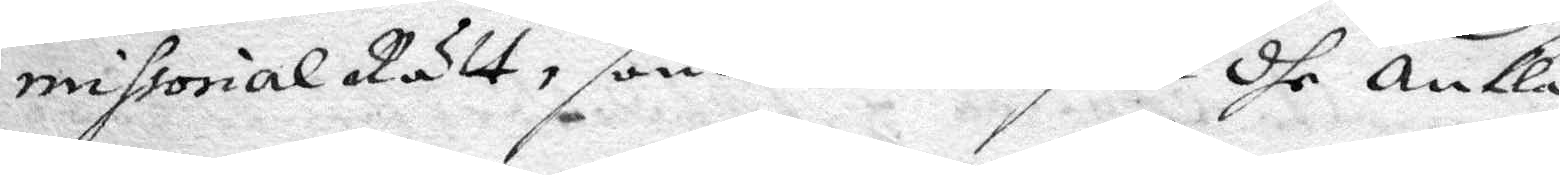missoralRätt, som war befalt dhe ankla¬
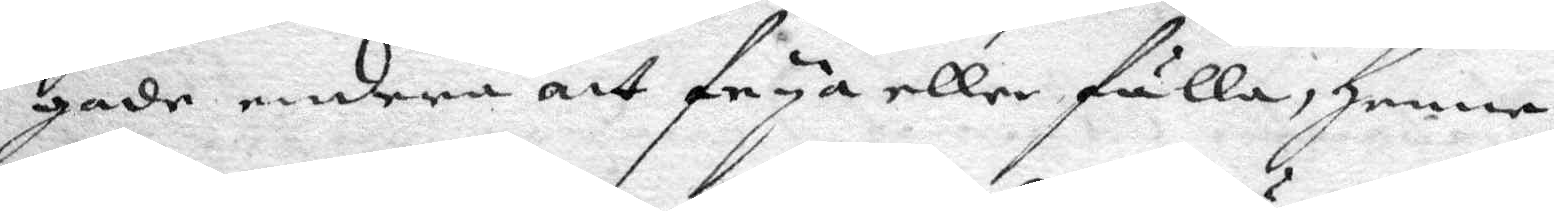gade endera att frya eller fälla, henne
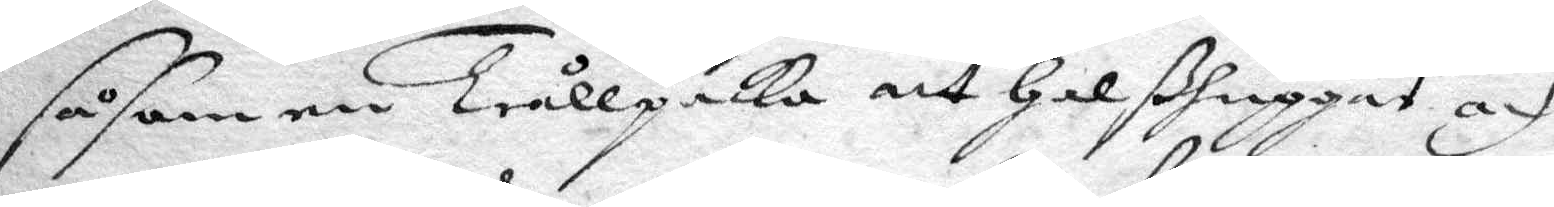såsom en Trållpacka att halßhuggas och
